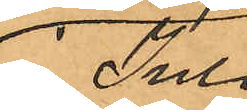i Juli
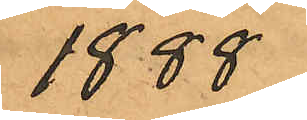1888
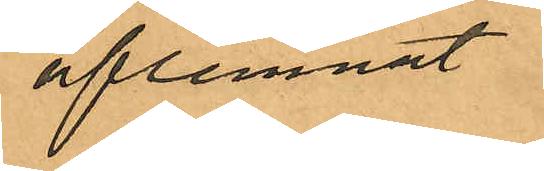aflemnat
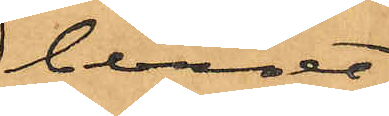beviset
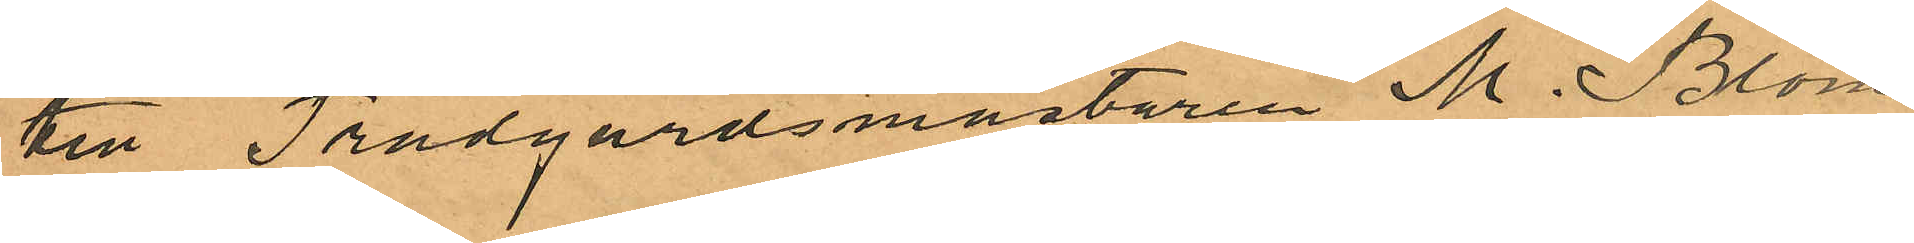till Trädgårdsmästaren M. Blom¬
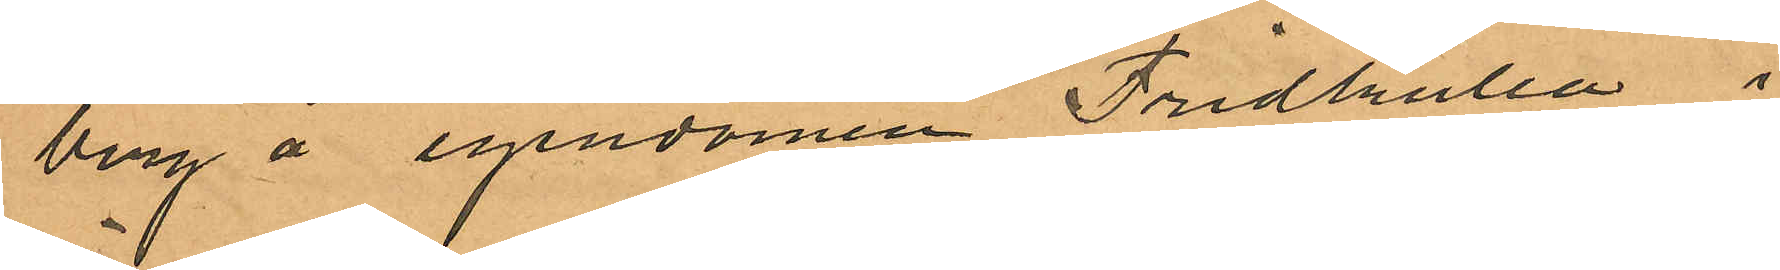berg å egendomen Fridkulla i
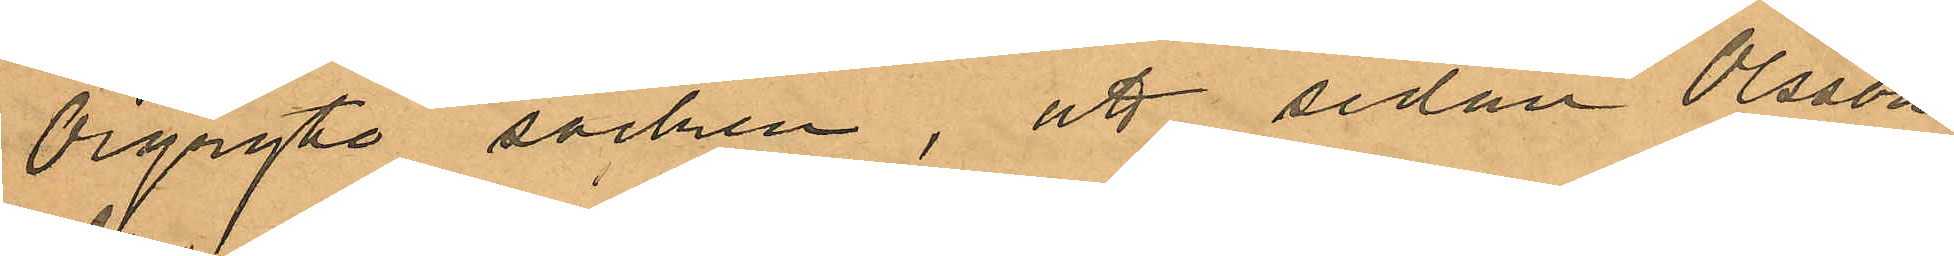Örgryte socken, att sedan Olsson
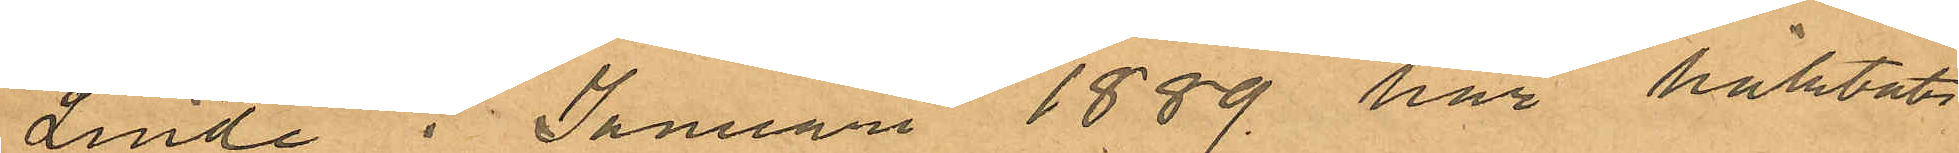Linde i Januari 1889 har häktats
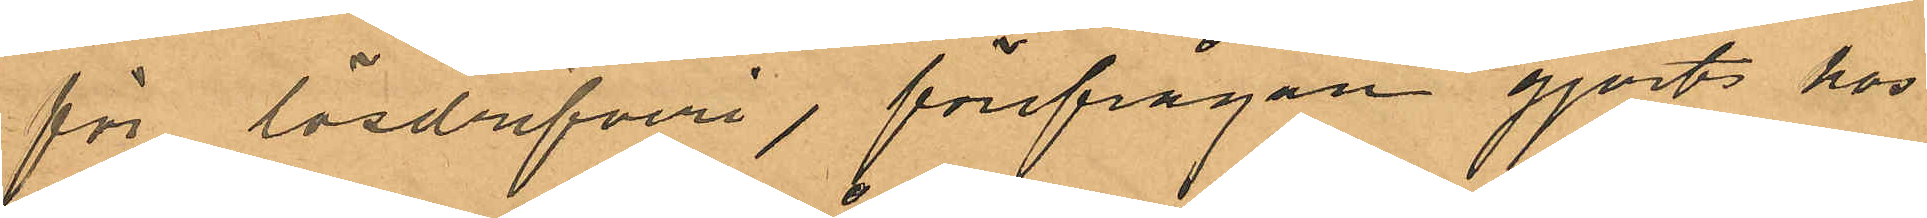för lösdrifveri, förefrågan gjorts hos
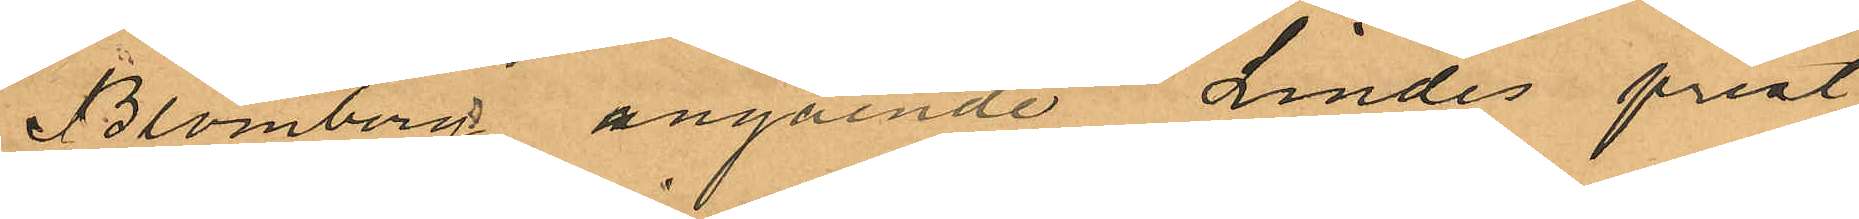Blomberg angående Lindes prest
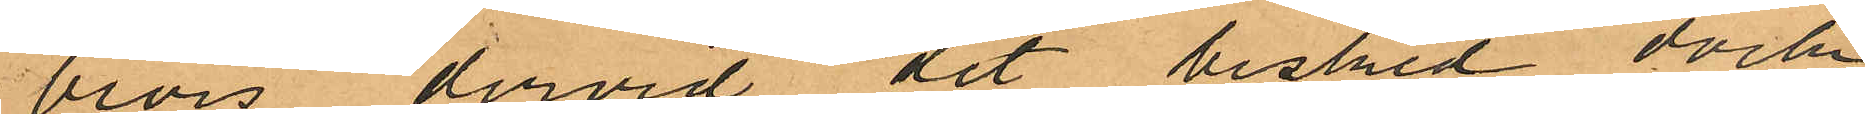bevis, dervid det besked dock
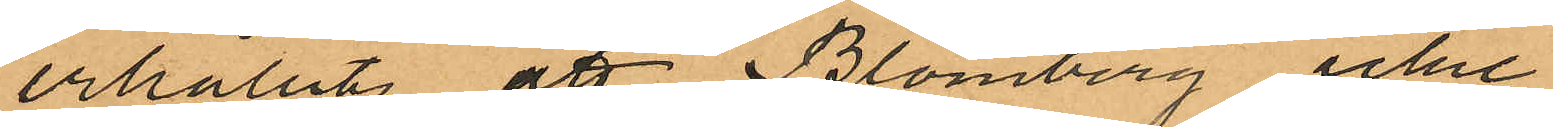erhållits att Blomberg icke
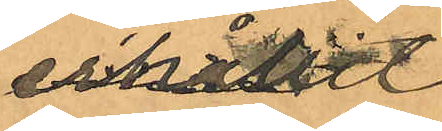erhållit
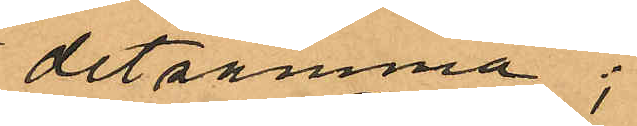detsamma;
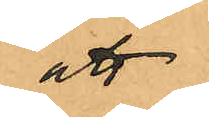att
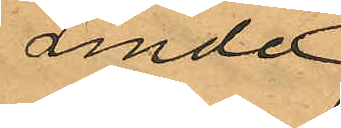Linde
